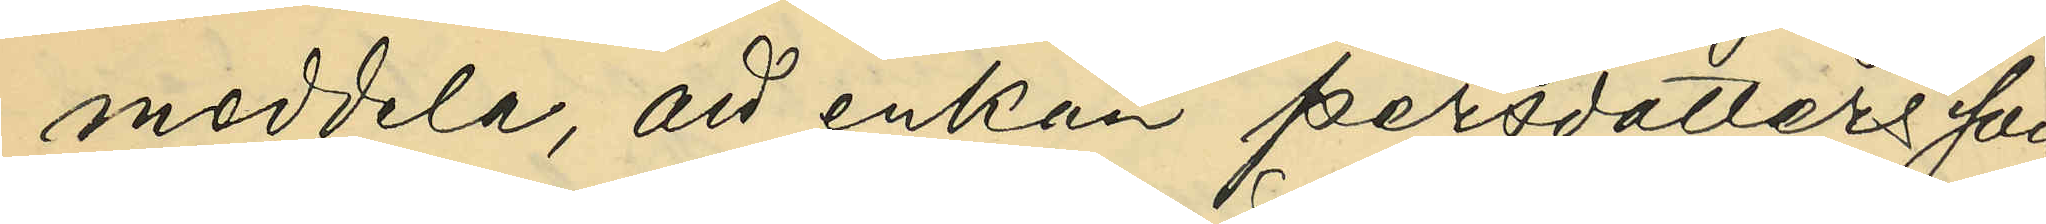meddela, att enkan Persdotters son
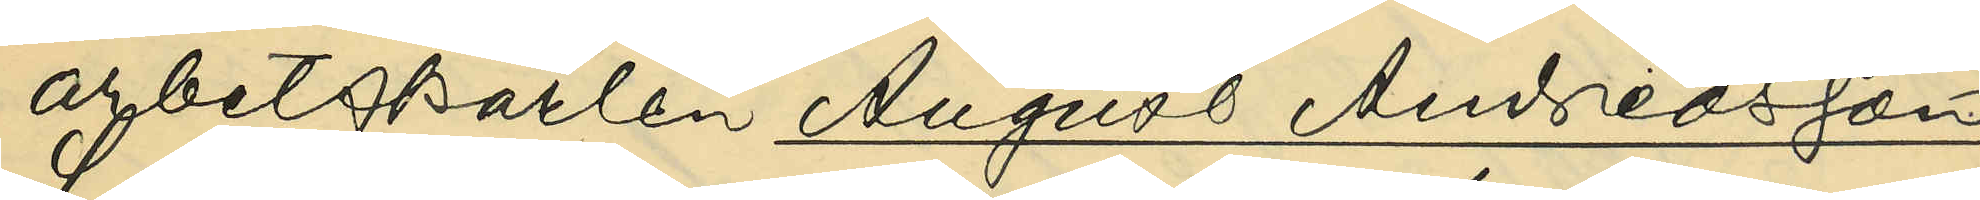arbetskarlen August Andreassson
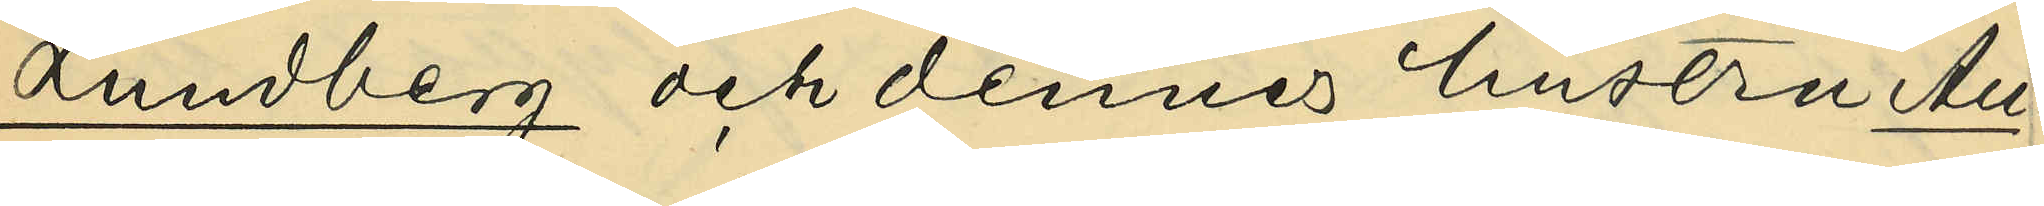Lundberg och dennes hustru Au¬
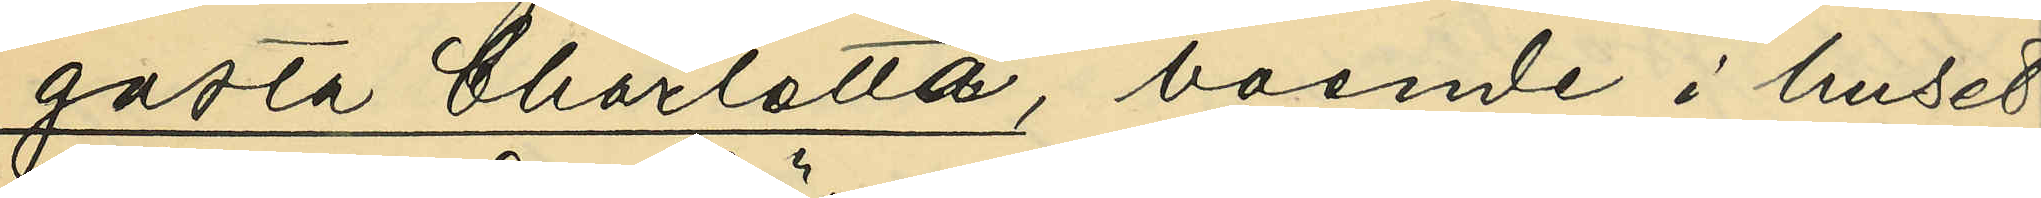gusta Charlotta, boende i huset
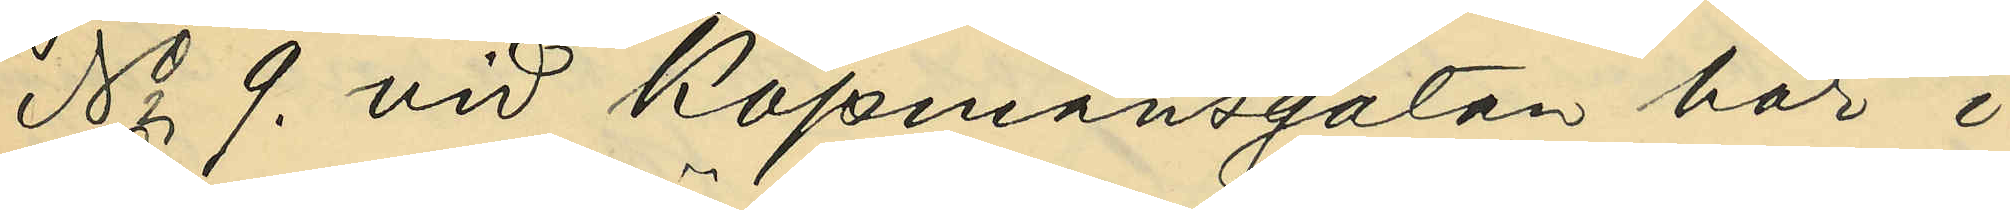No 9. vid Köpmansgatan här i
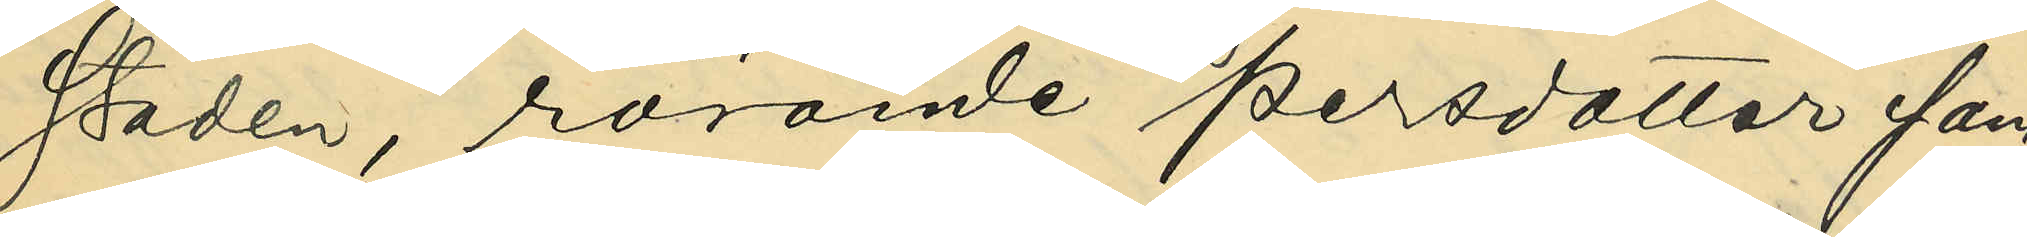staden, rörande Persdotter sam¬
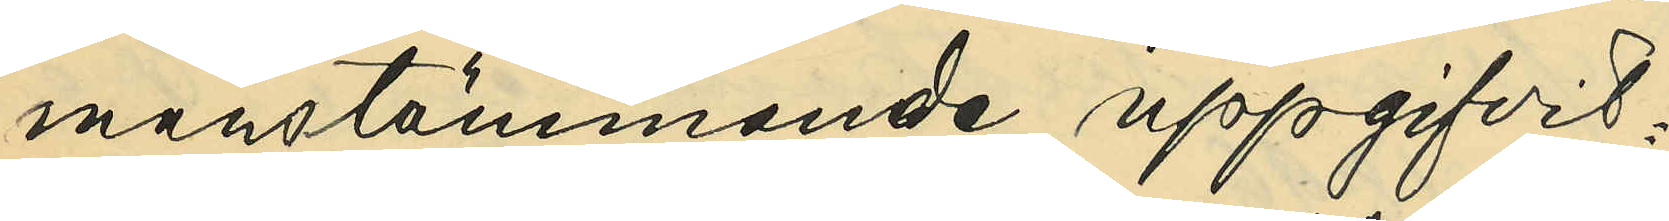manstämmande uppgifvit:
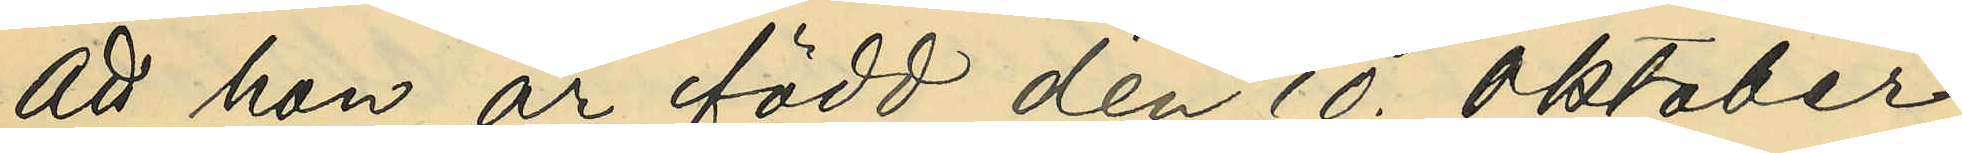att hon är född den 10. Oktober
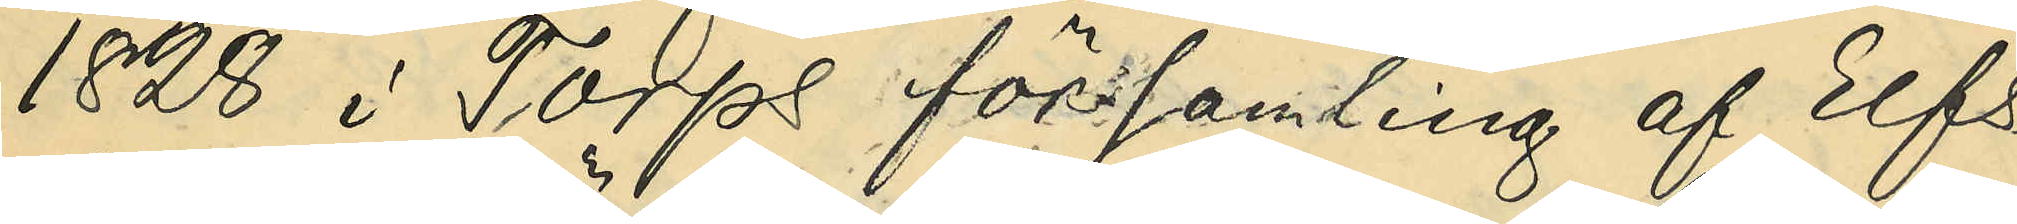1828 i Torps församling af Elfs¬
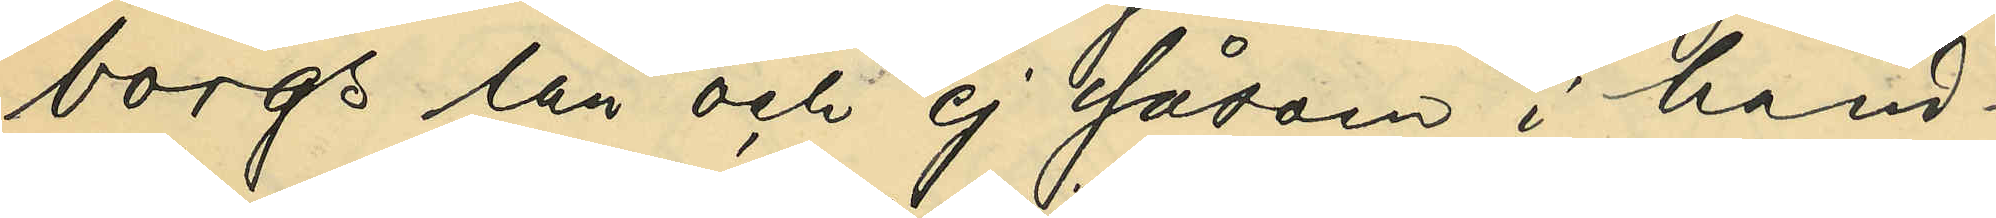borgs län och ej såsom i hand¬
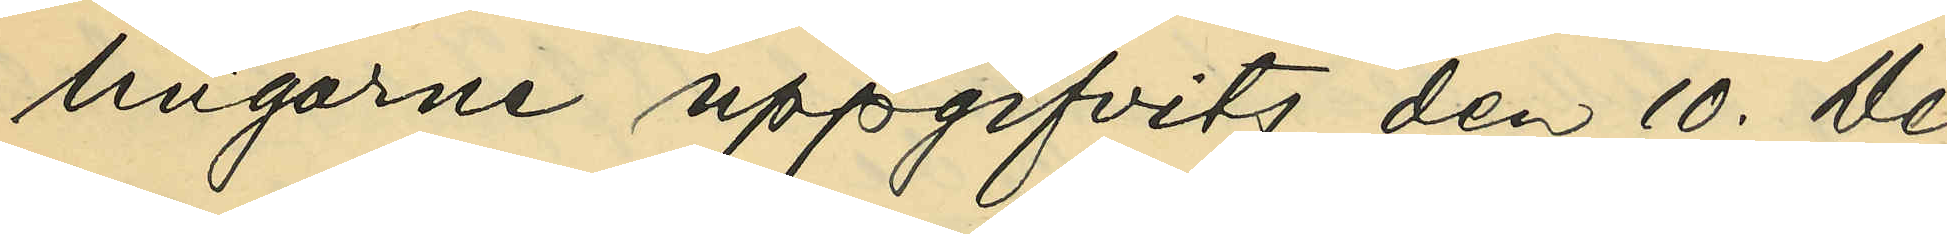lingarne uppgifvits den 10. De¬
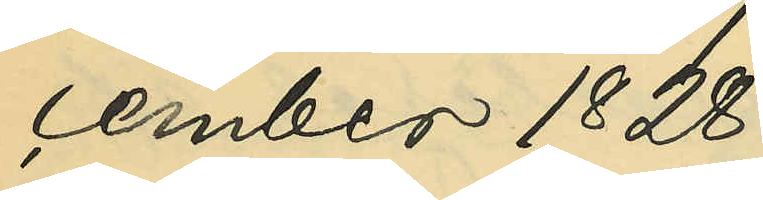cember 1828;
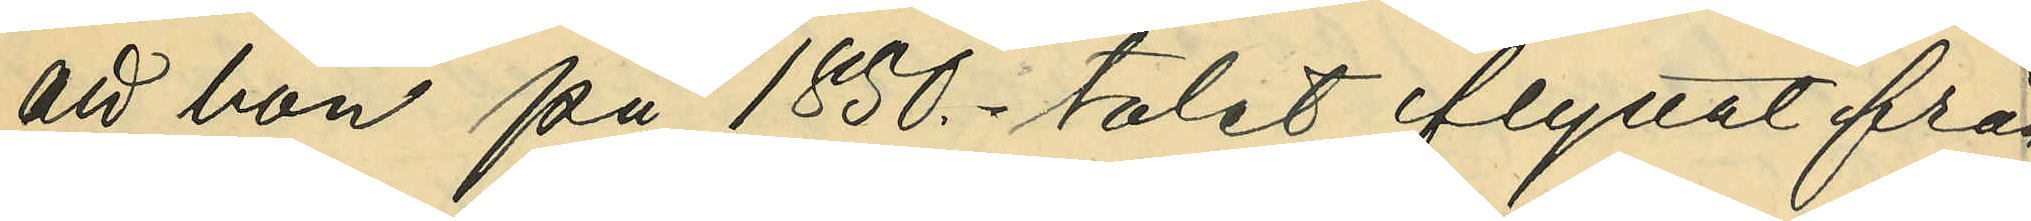att hon på 1850-talet flyttat från
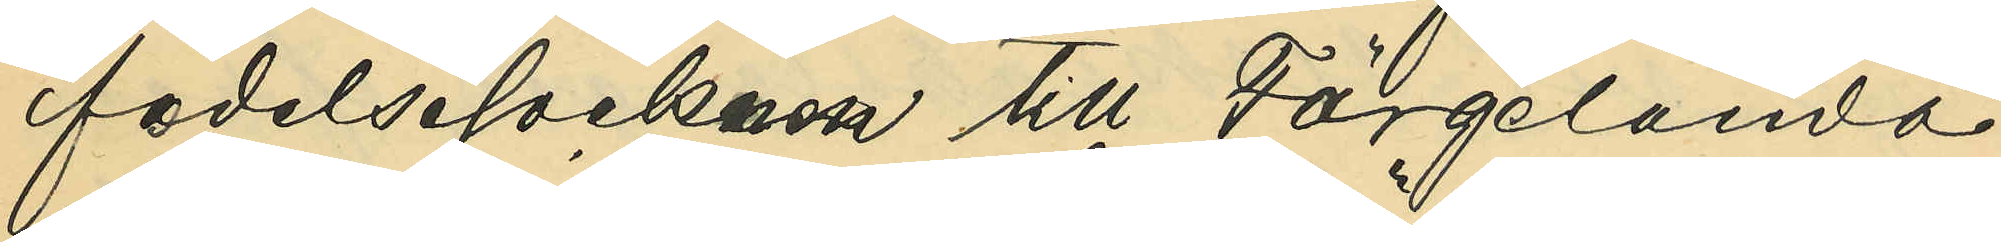födelsesocknen till Färgelanda
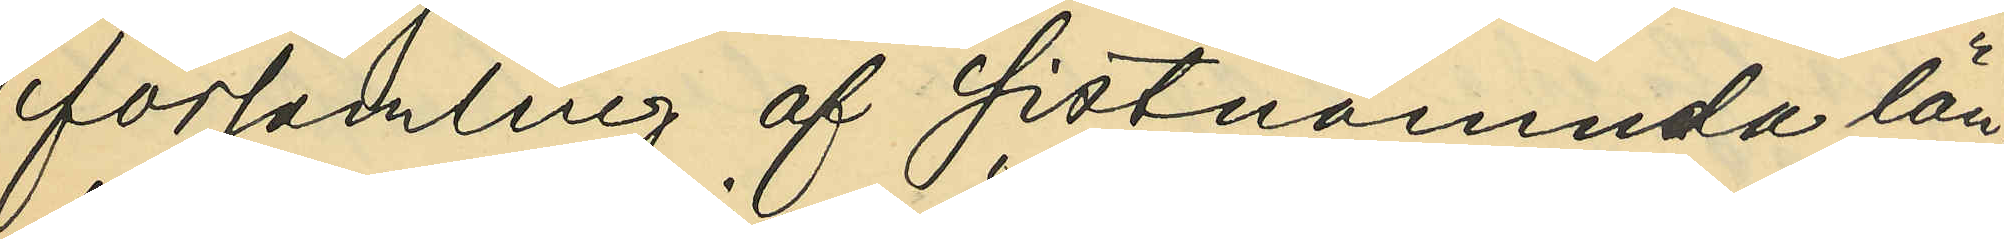församling af sistnämnda län,
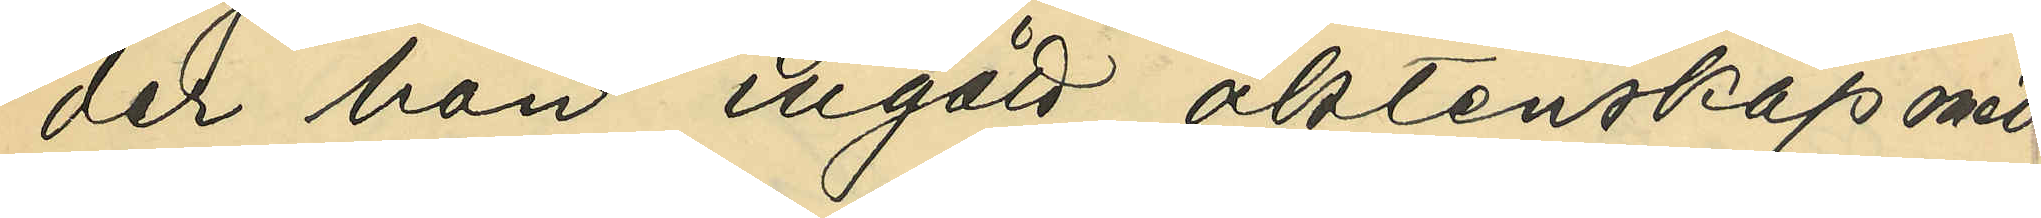der hon ingått äktenskap med
